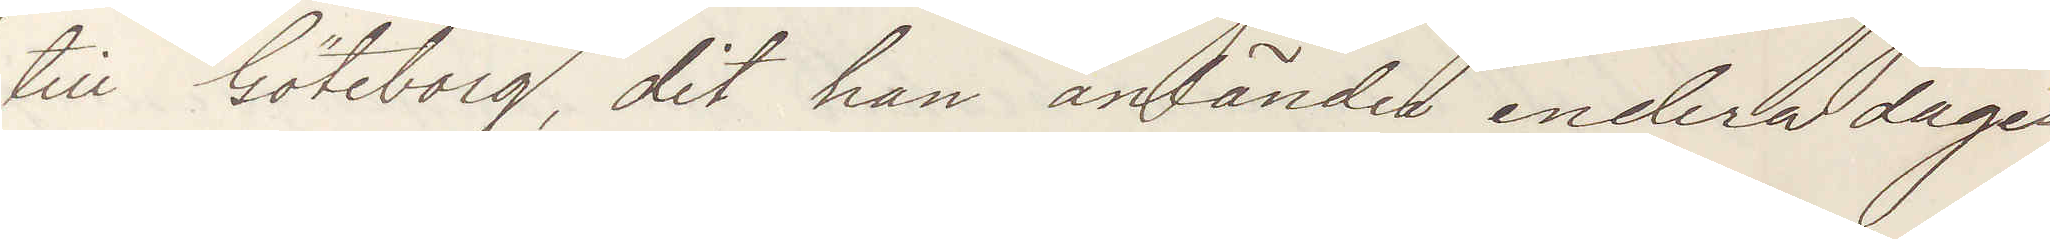till Göteborg, dit han anländer endera dagen.
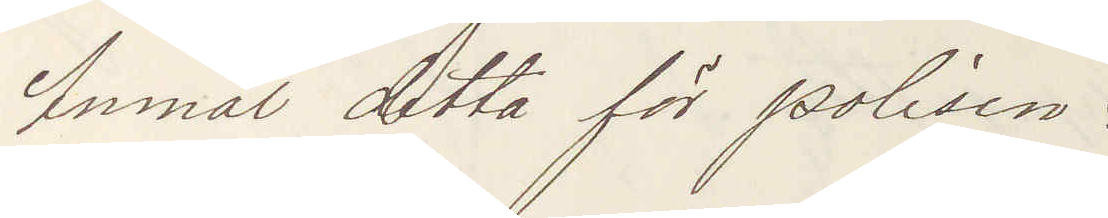Anmäl detta för polisen:
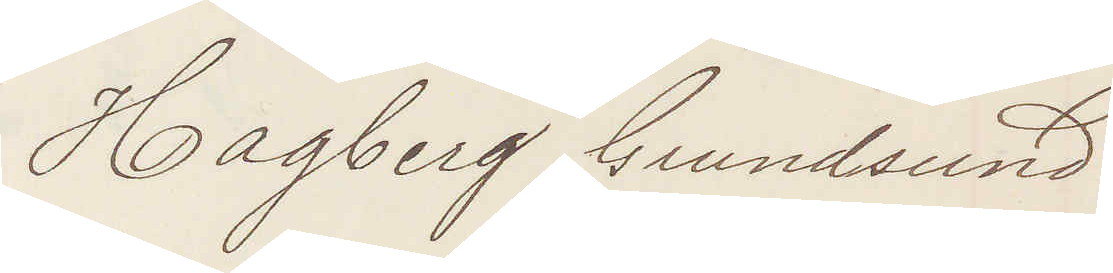Hagberg Grundsund:
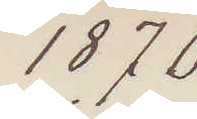1876
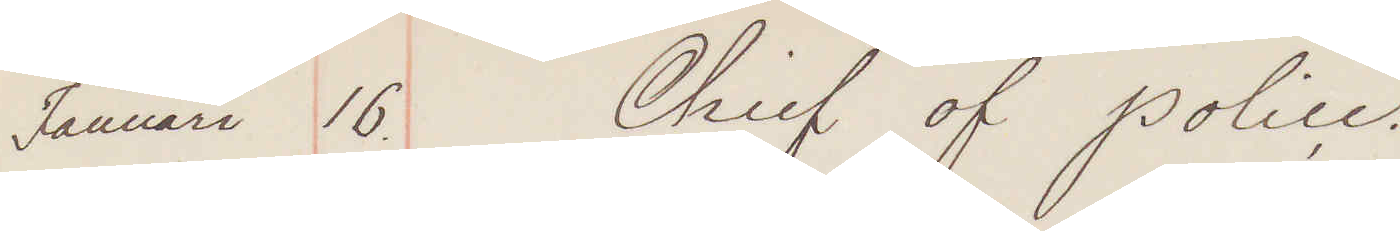Januari 16. Chief of Police.
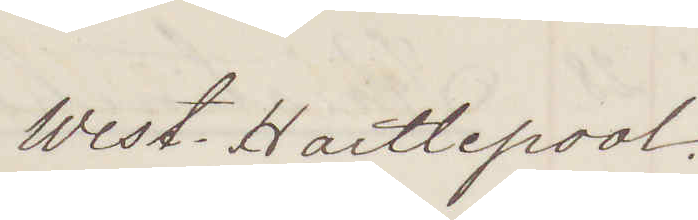West. Hartlepool.
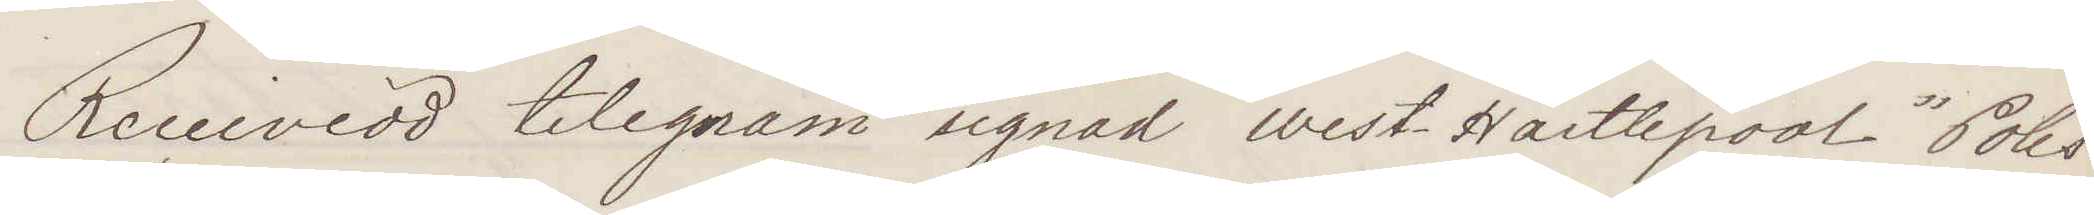Receivead telegram signad West Hartlepool "Polis¬
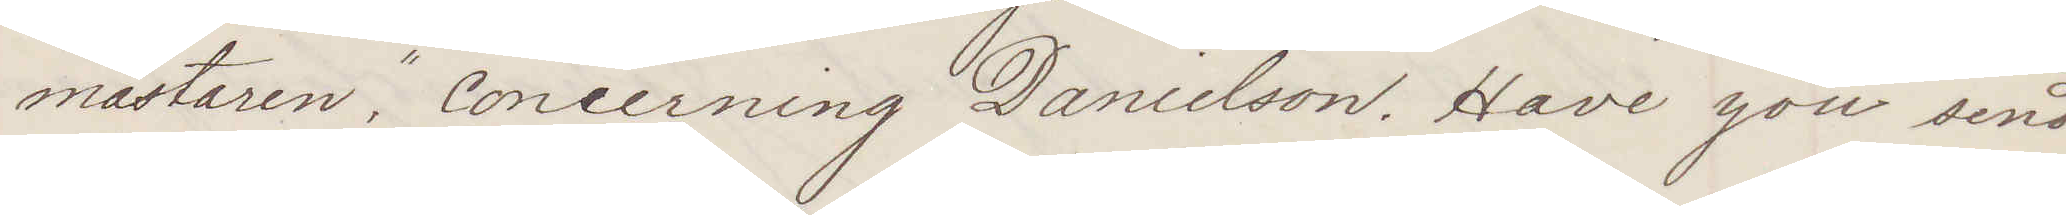mästaren", concerning Danielson. Have you send
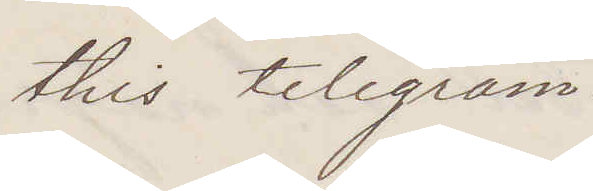this telegram.
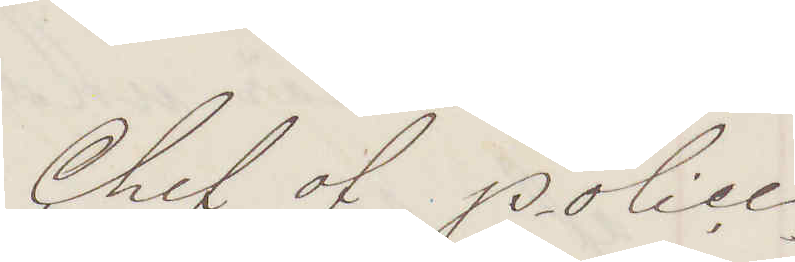Chief of Police
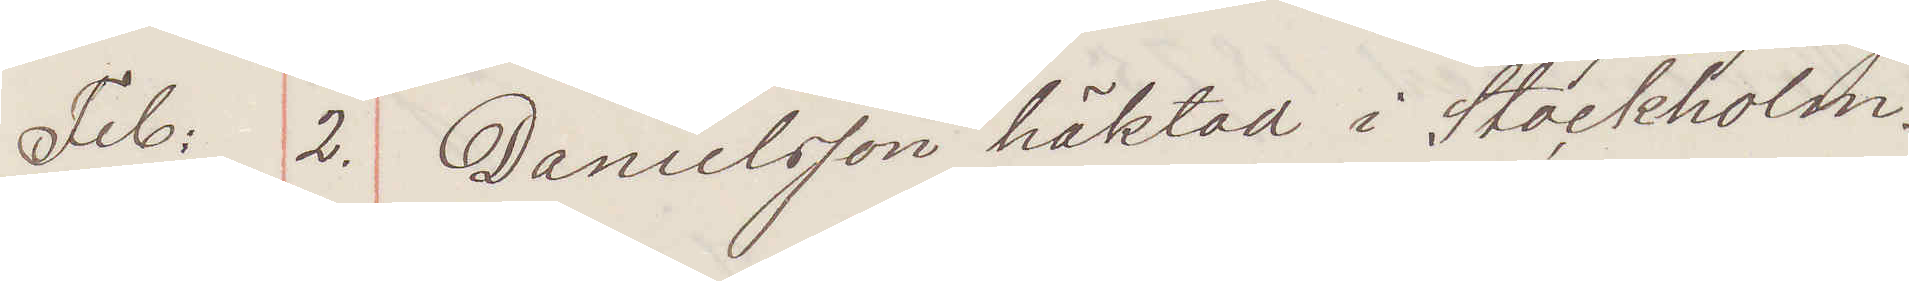Feb: 2. Danielsson häktad i Stockholm.
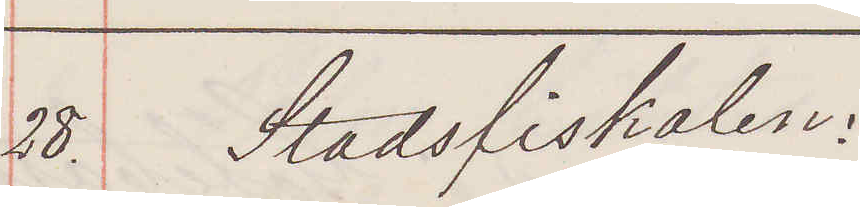28. Stadsfiskalen:
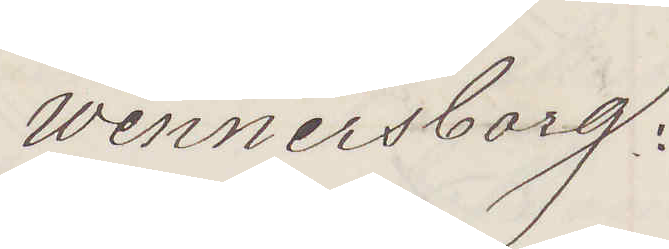Wennersborg:
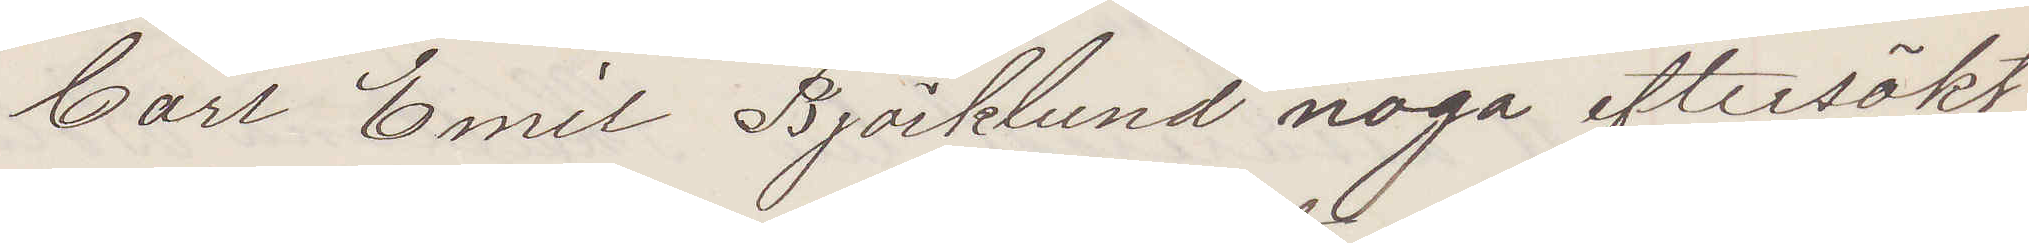Carl Emil Björklund noga eftersökt
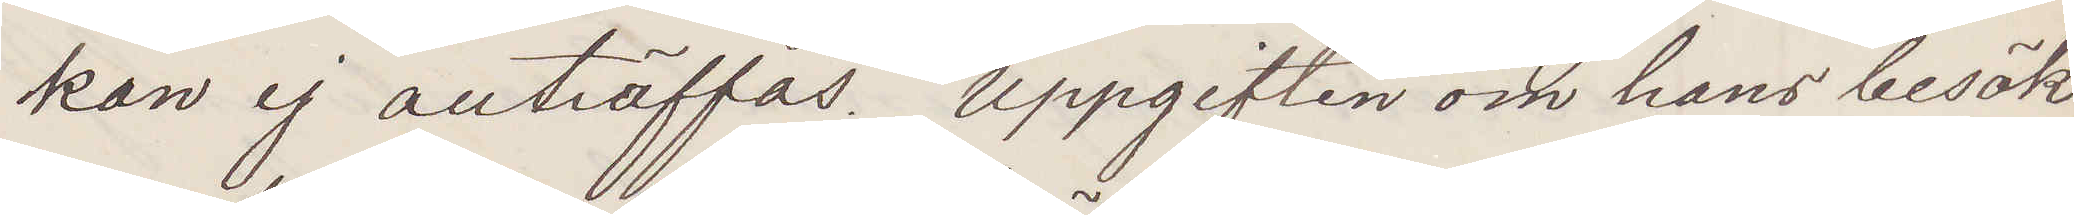kan ej anträffas. Uppgiften om hans besök
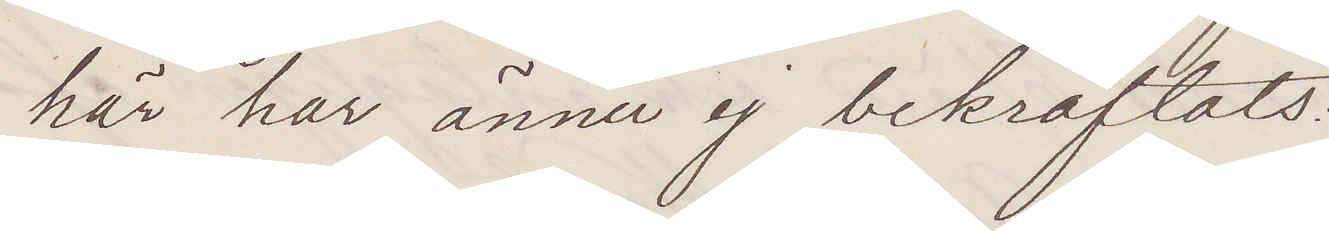här har ännu ej bekräftats.
